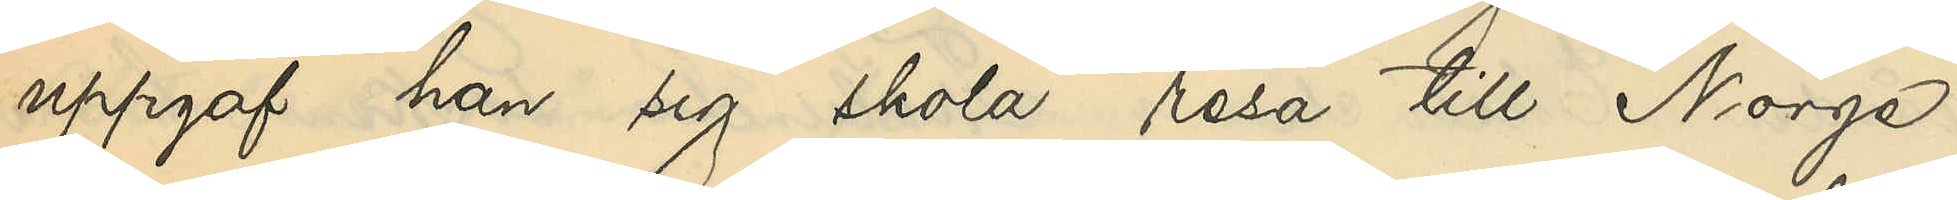uppgaf han sig skola resa till Norge.
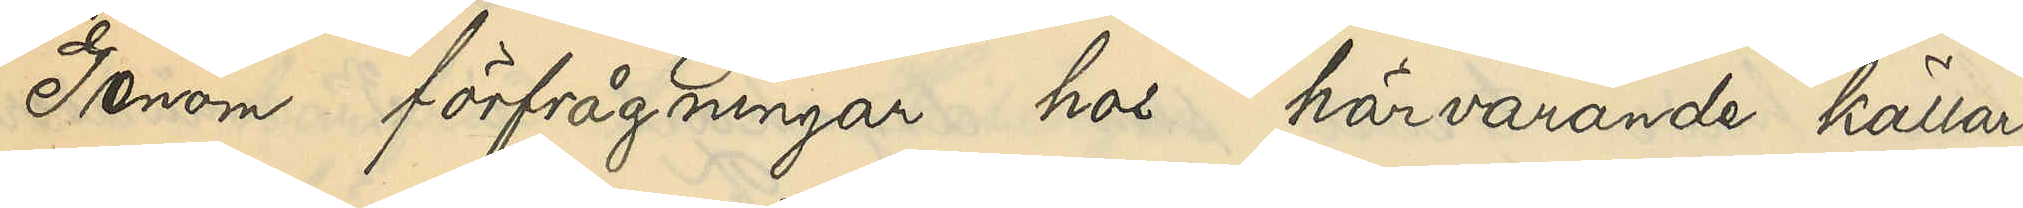Genom förfrågningar hos härvarande källar¬
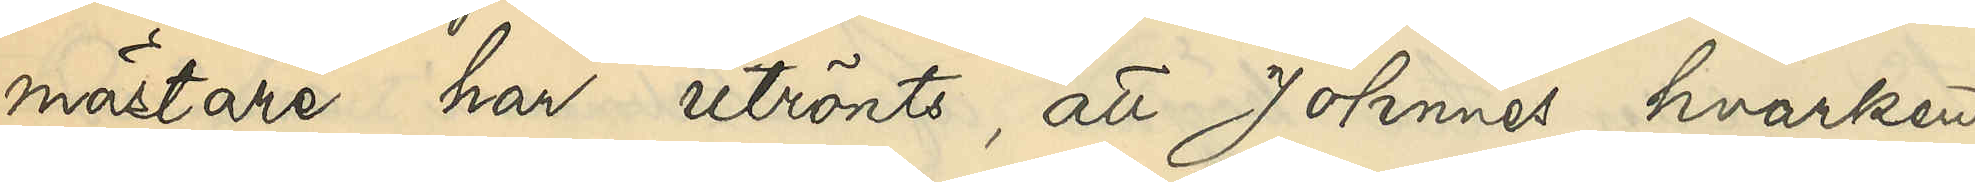mästare har utrönts, att Johnnes hvarken
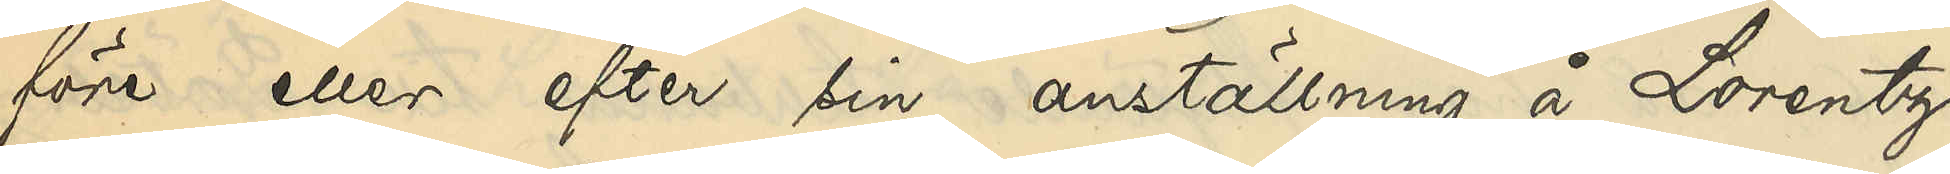före eller efter sin anställning å Lorentz¬
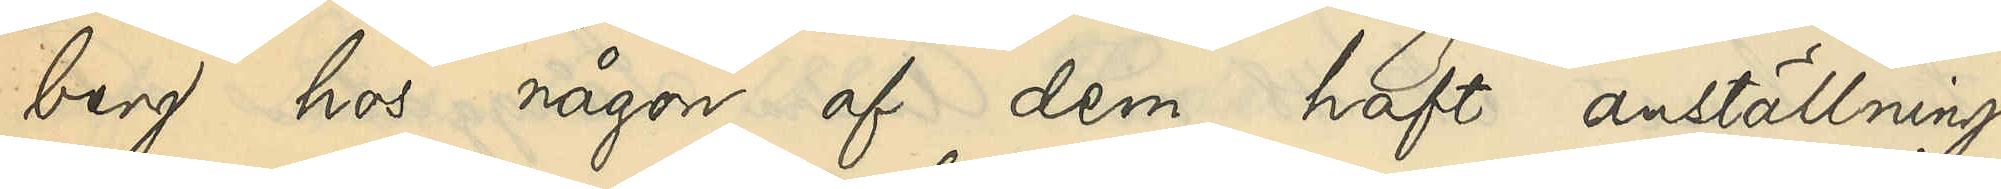berg hos någon af dem haft anställning.
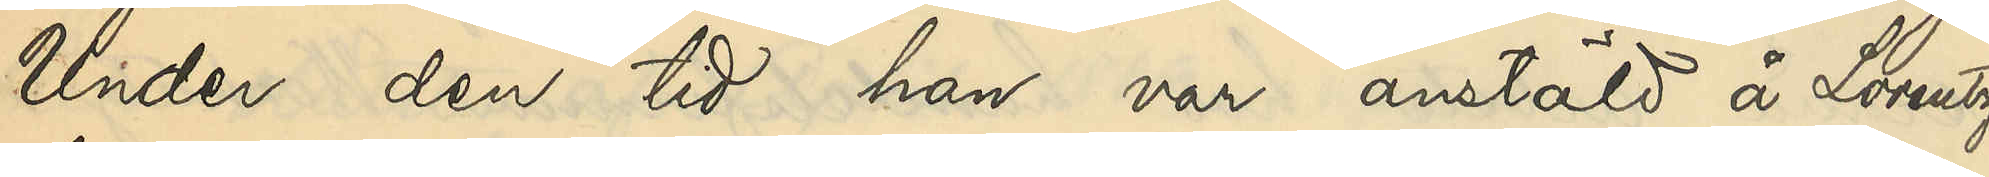Under den tid han var anstäld å Lorentz¬
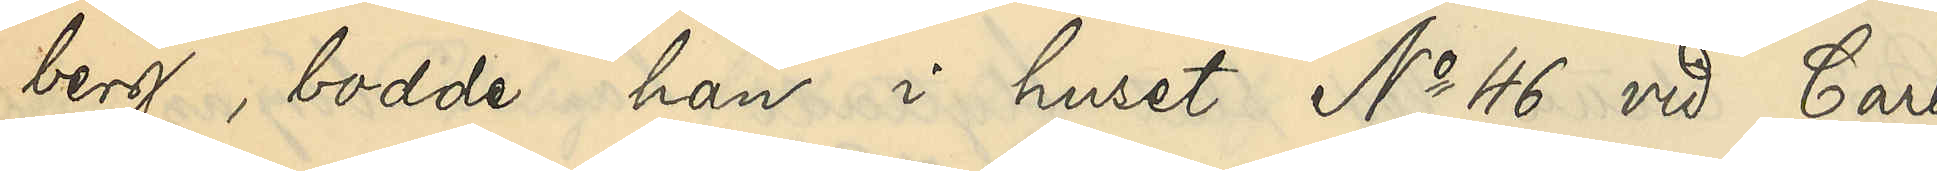berg, bodde han i huset No 46 vid Carl
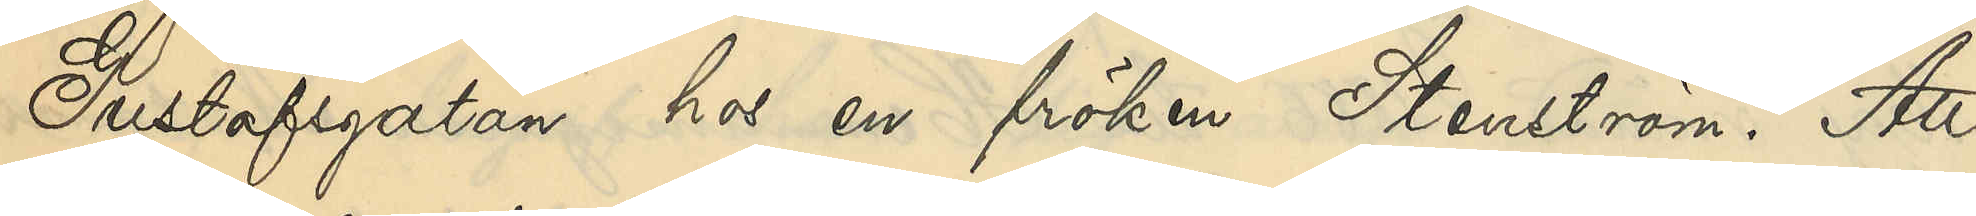Gustafsgatan hos en fröken Stenström. Att
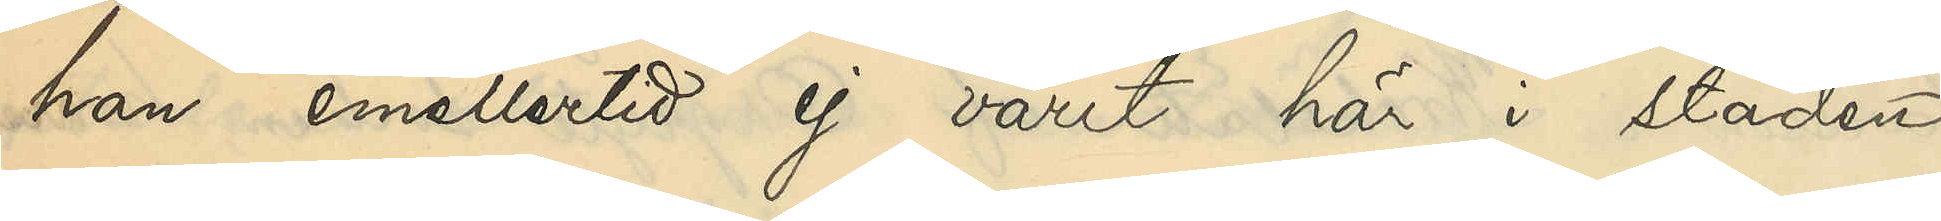han emellertid ej varit här i staden
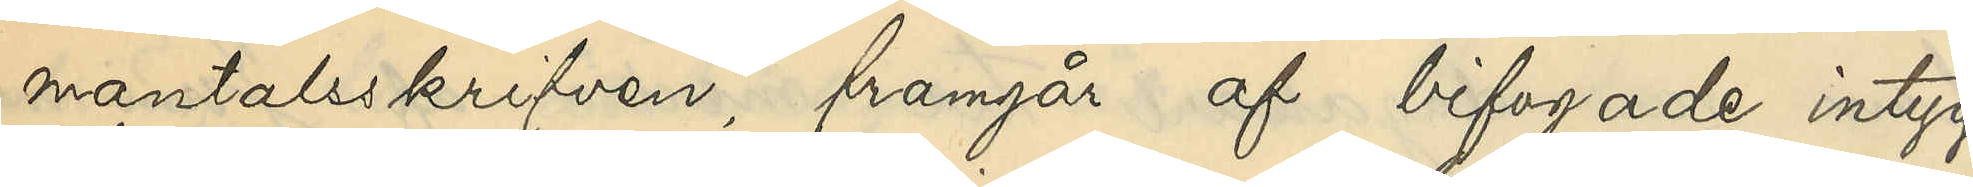mantalsskrifven framgår af bifogade intyg
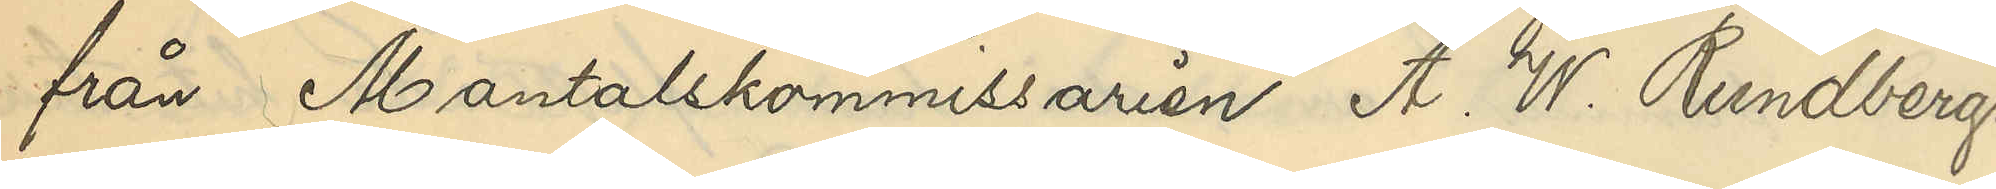från Mantalskommissarien A. W. Rundberg.
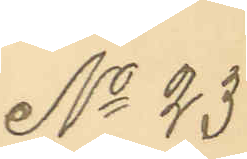No 23
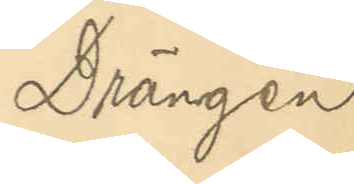Drängen
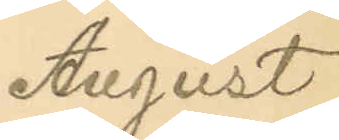August
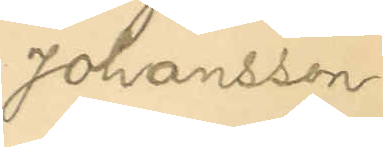Johansson.
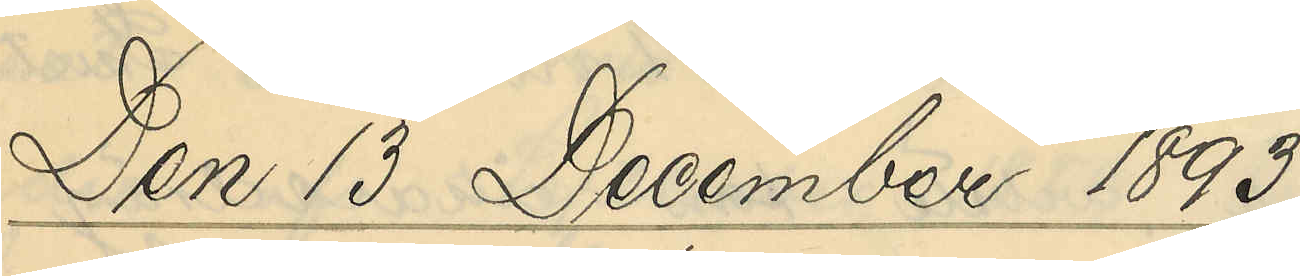Den 13 December 1893.
